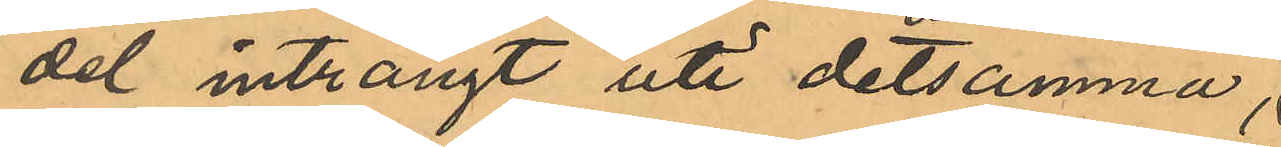del inträngt uti detsamma;
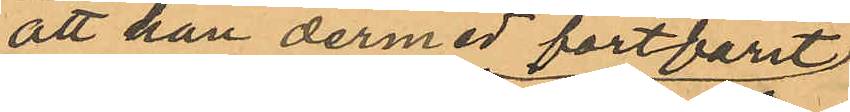att han dermed fortfarit
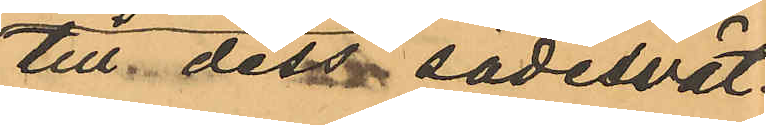till dess sädesvät¬
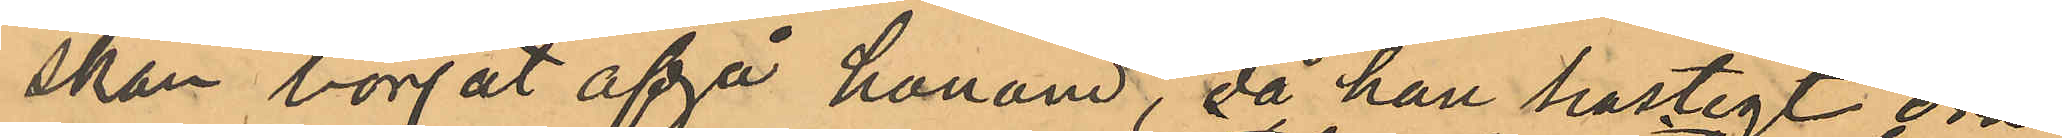skan börjat afgå honom, då han hastigt dra¬
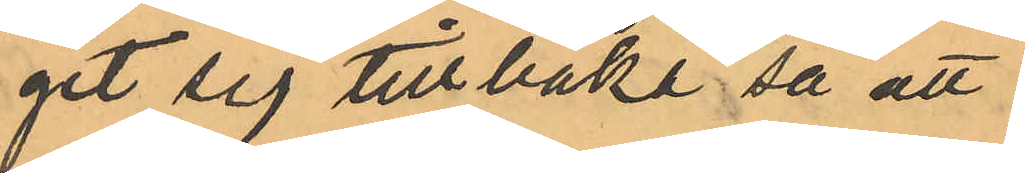git sig tillbaka så att
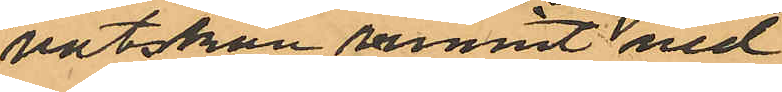vätskan runnit ned
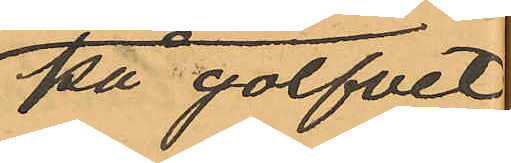på golfvet,
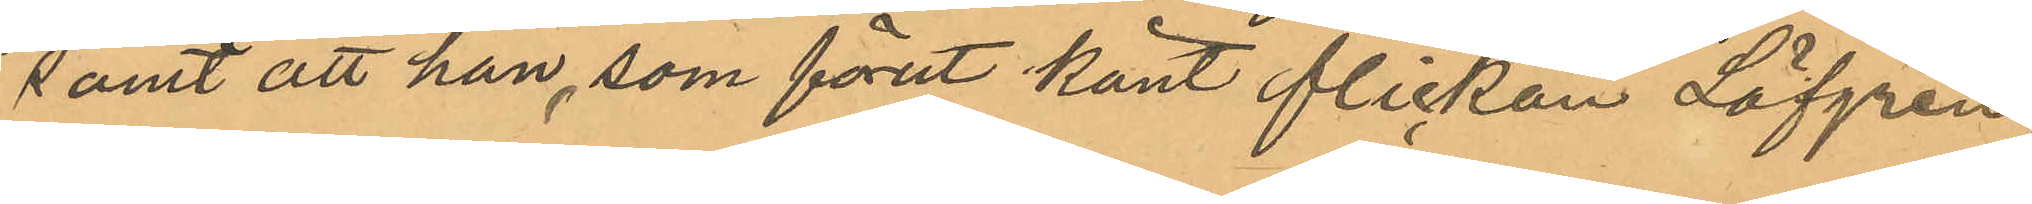samt att han, som förut känt flickan Löfgren,
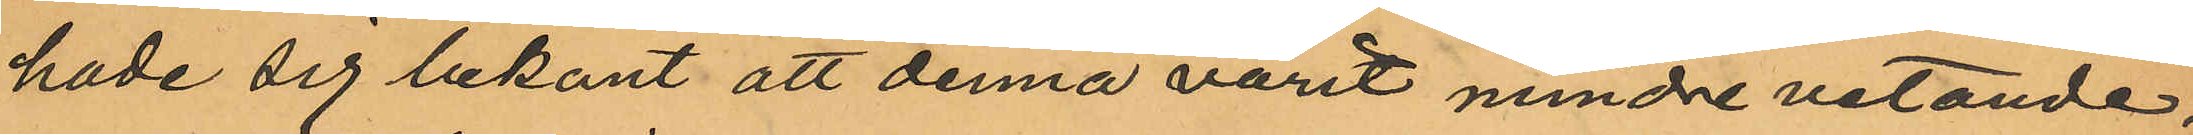hade sig bekant att denna varit mindre vetande;
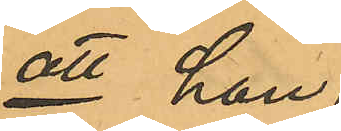att han
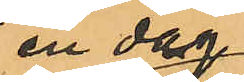en dag
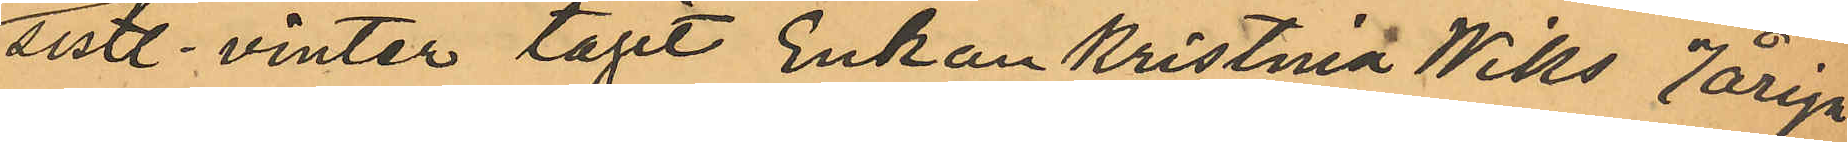sistl. vinter tagit Enkan Kristina Wiks 7åriga
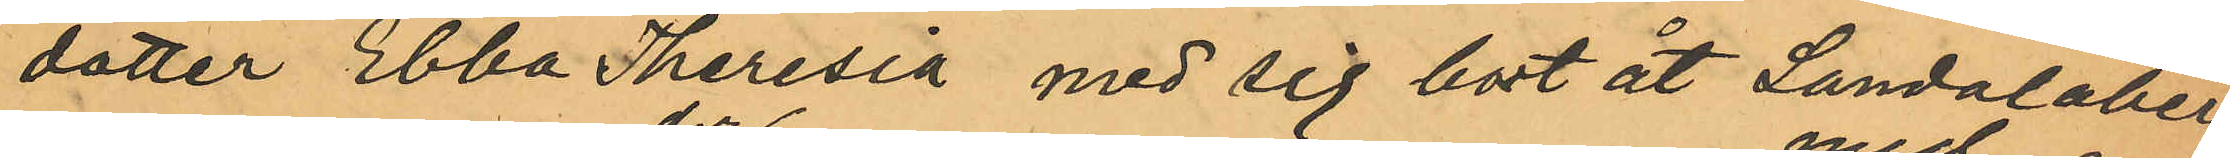dotter Ebba Theresia med sig bort åt Landalaber¬
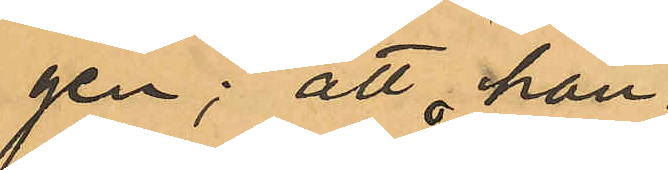gen; att han
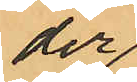der
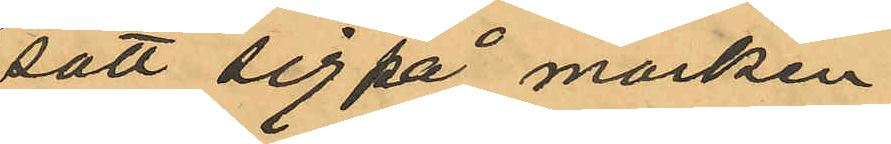satt sig på marken
